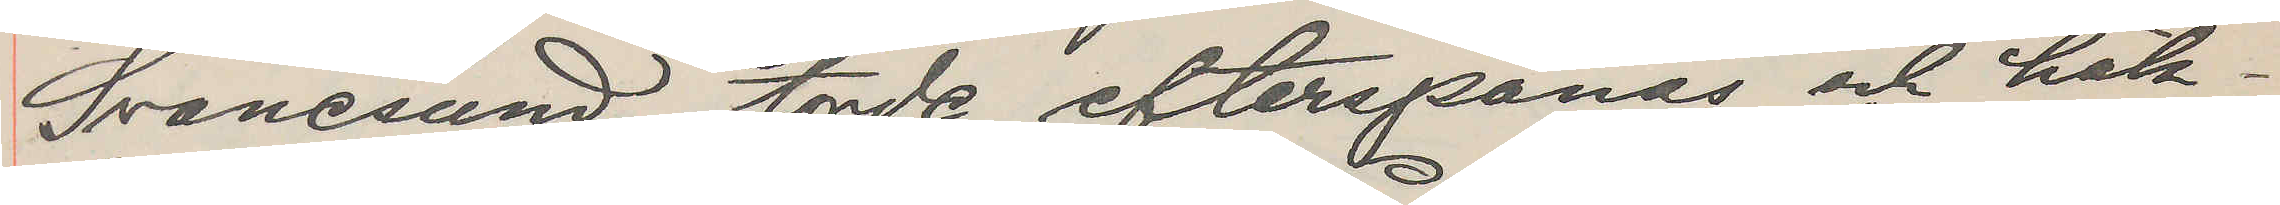Svanesund torde efterspanas och häk¬
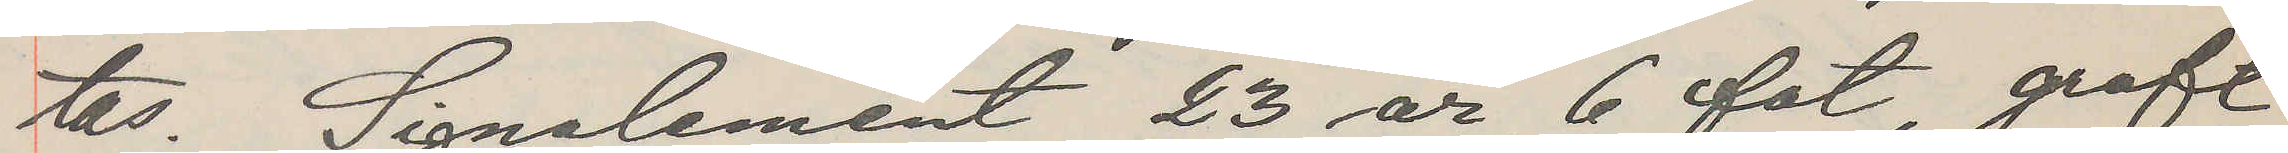tas. Signalement 23 år, 6 fot, groft
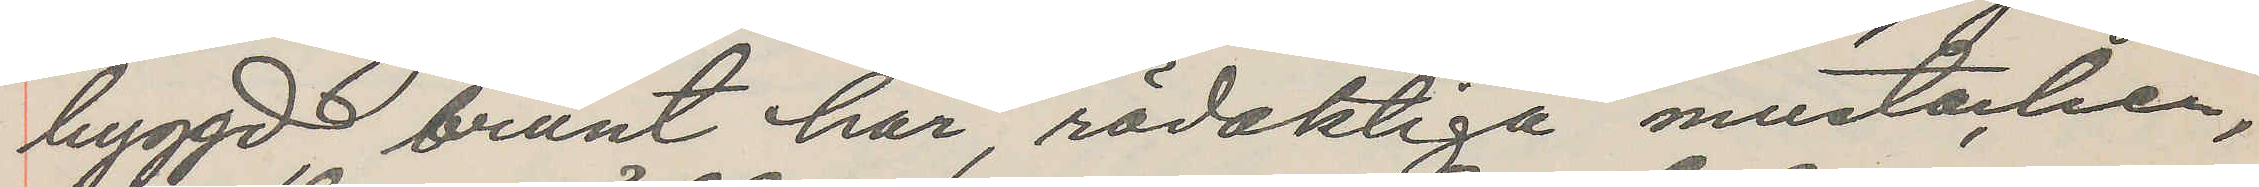byggd brunt hår, rödaktiga mustacher,
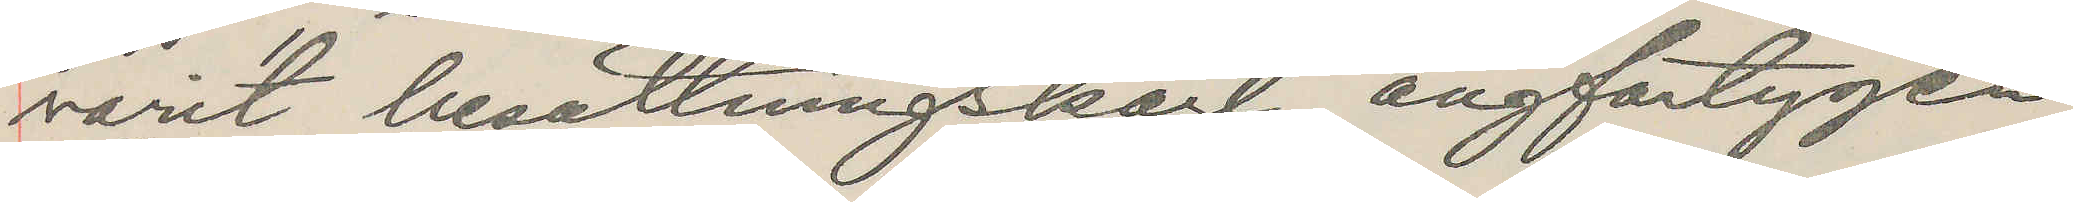varit besättningskarl ångfartygen
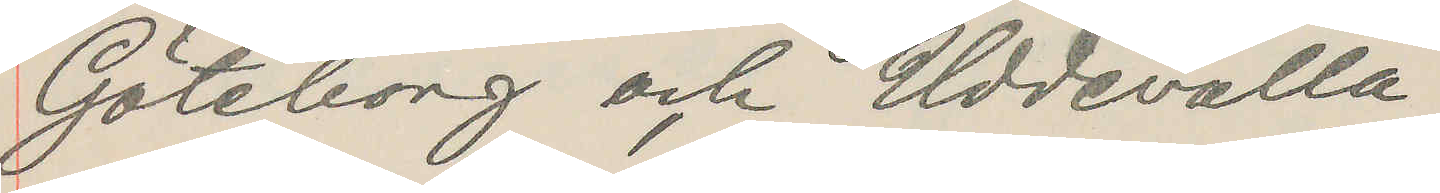Göteborg och Uddevalla.
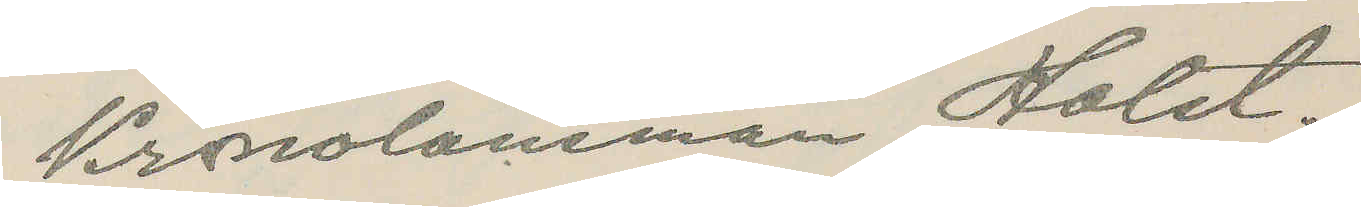Kronolänsman Holst.
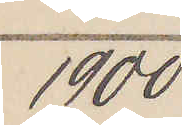1900
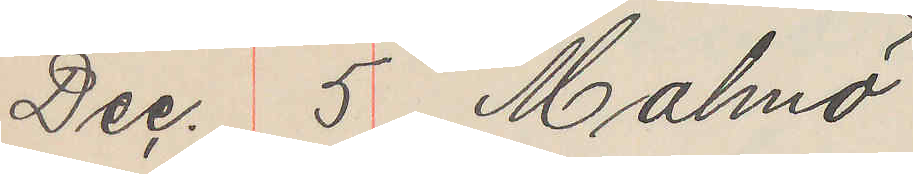Dec. 5 Malmö
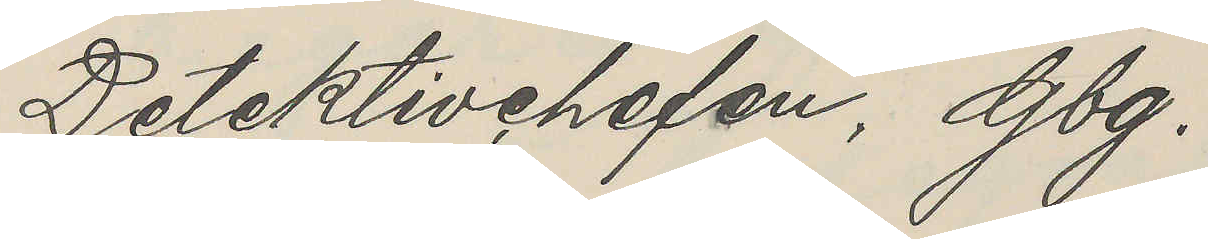Detektivchefen, Gbg.
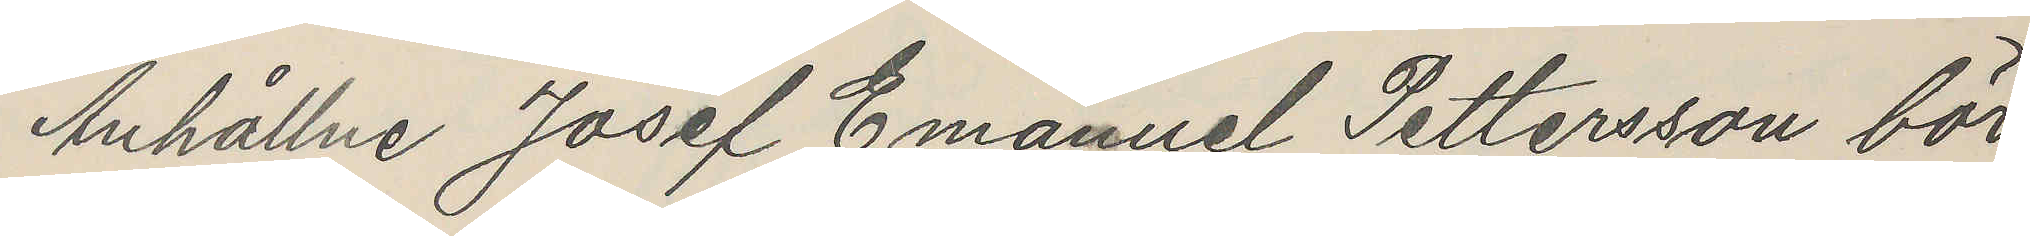Anhållne Josef Emanuel Pettersson bör
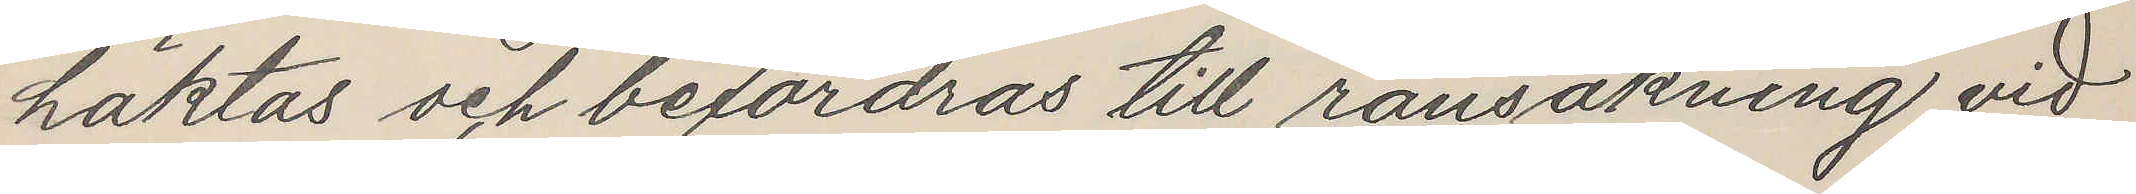häktas och befordras till ransakning vid
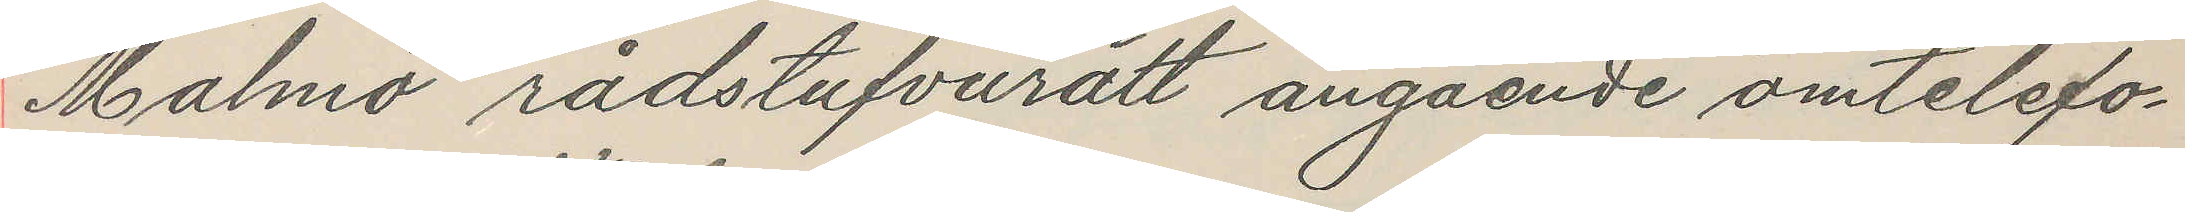Malmö rådstufvurätt angående omtelefo¬
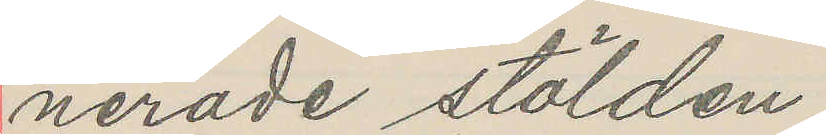nerade stölden.
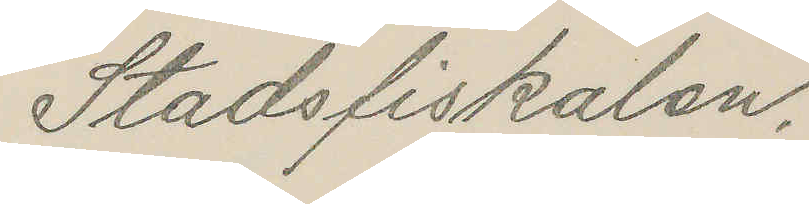Stadsfiskalen.
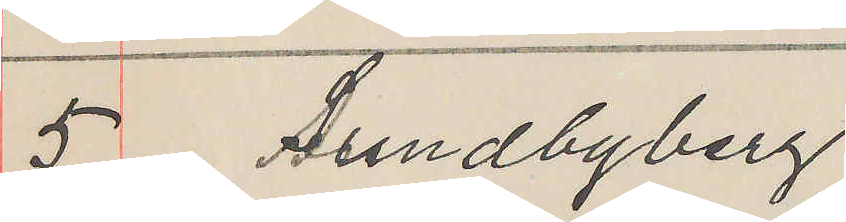5 Sundbyberg
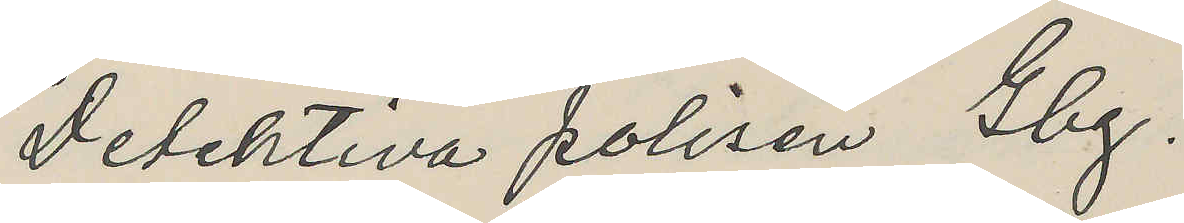Detektiva polisen Gbg.
